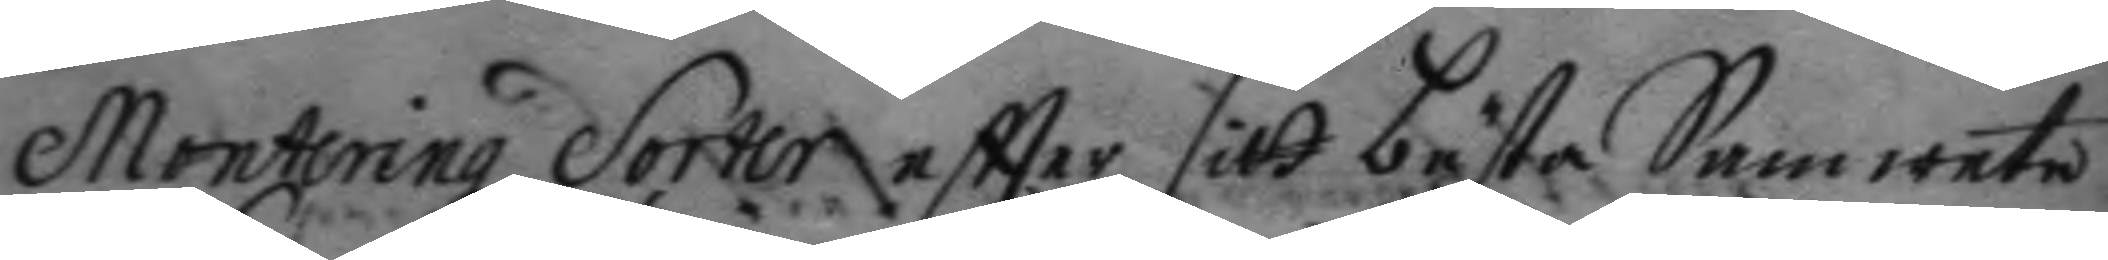Monteringz Sorter eftter sitt bästa Samwete
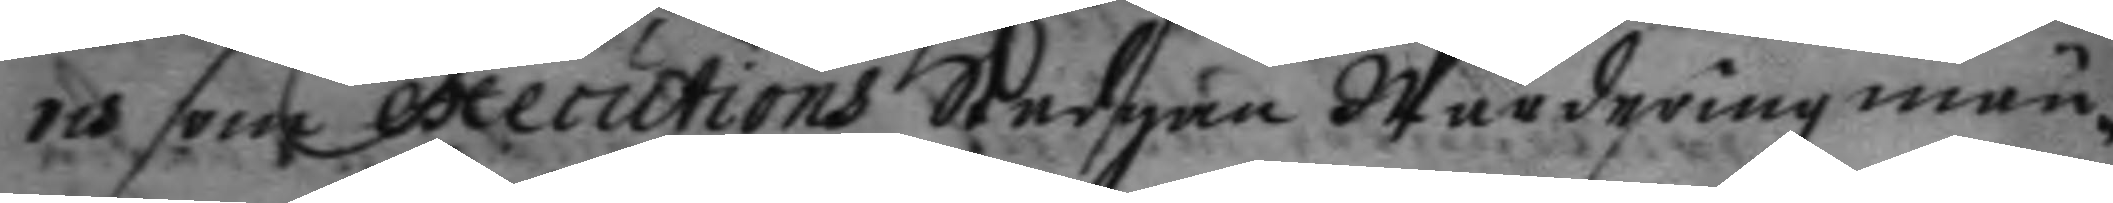och som executions Stadgan Wärderingzmän¬
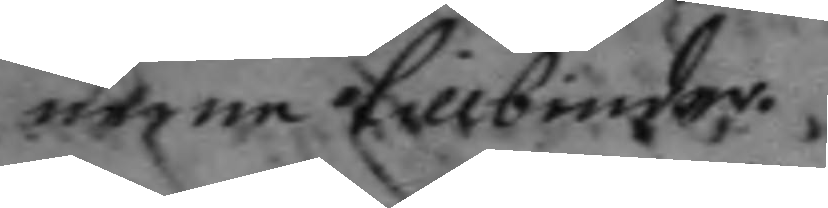nerne tillbiuder.
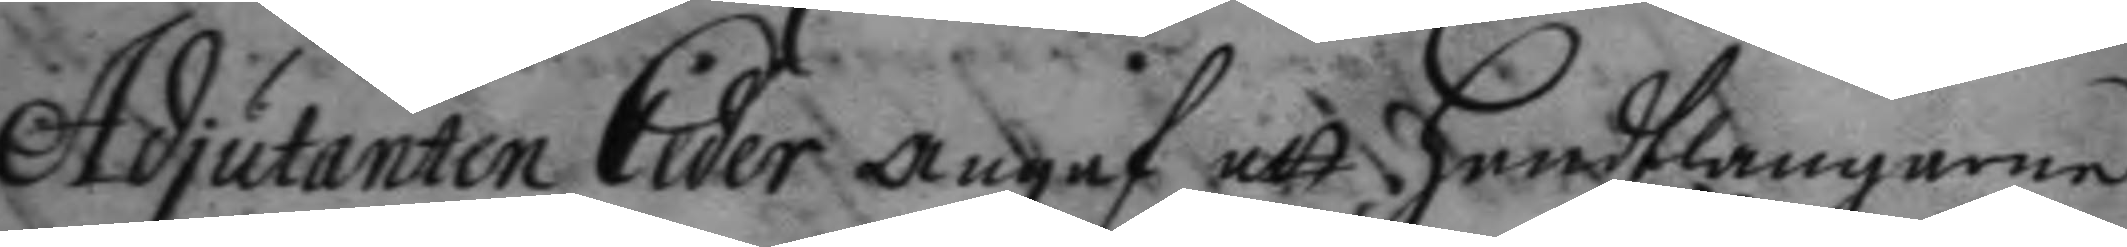Adjutanten Ceder angaf att handtlangaren
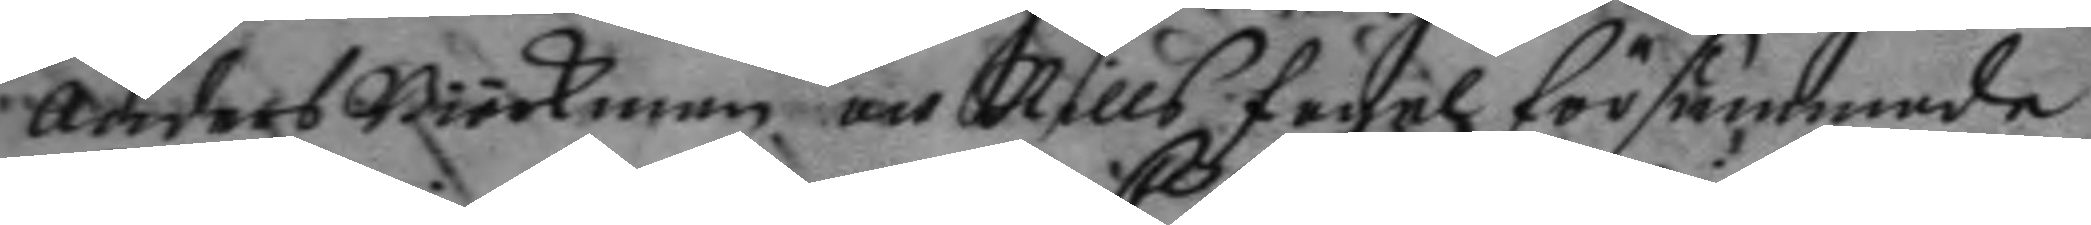anders Biörkman och Nills fågel försummade
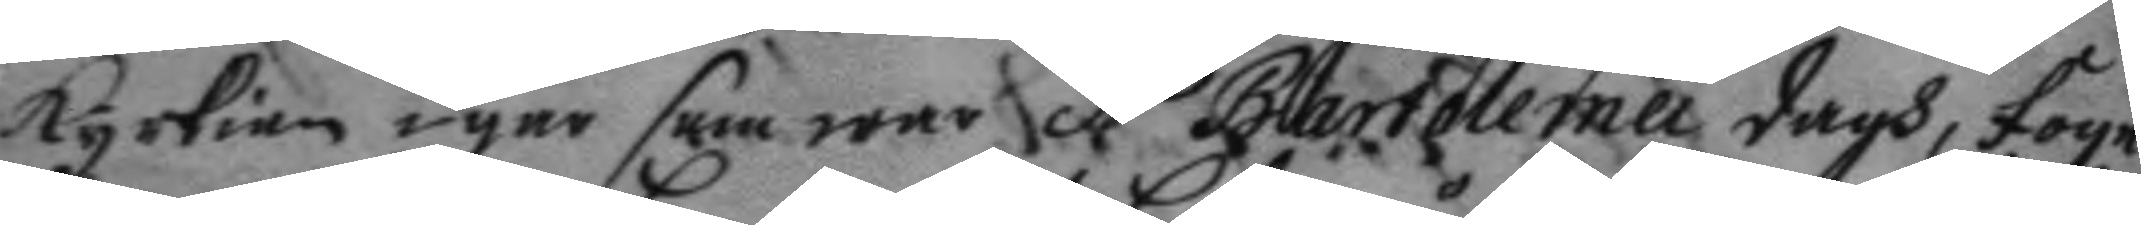kyrkian i går som war Bartolemei dagh, foge¬
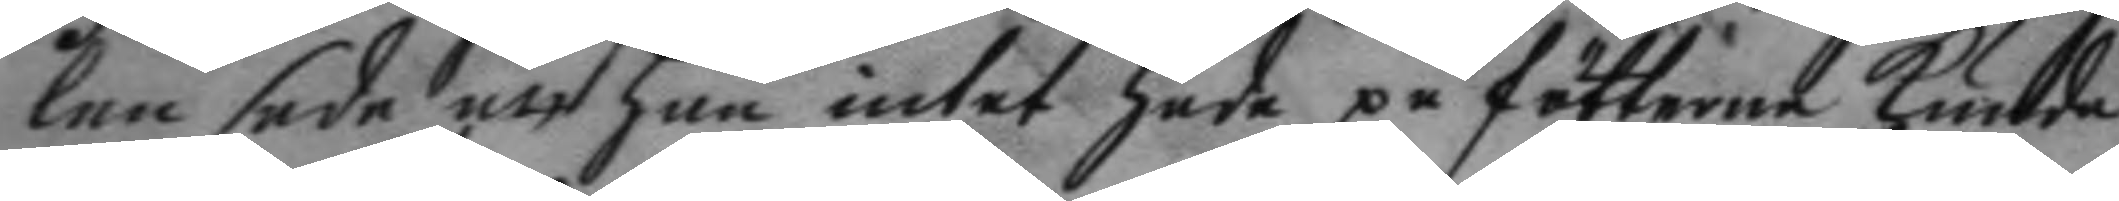len sade att han intet hade på fötterne kunde
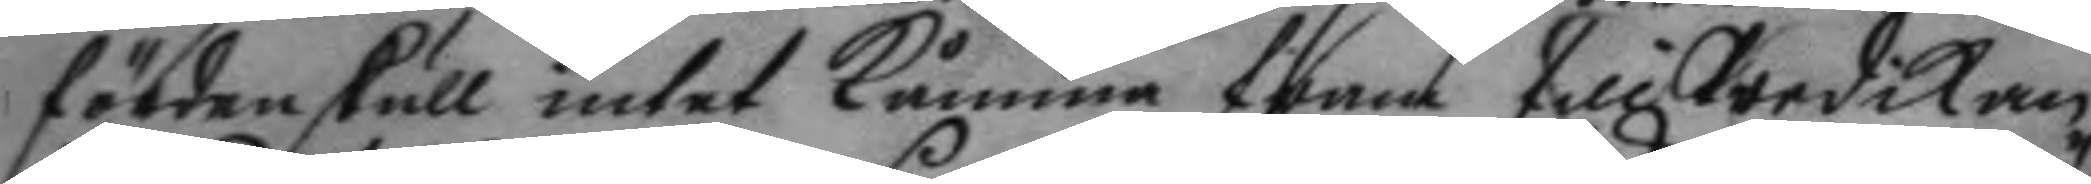fördenskull intet kåmma fram till Predikan
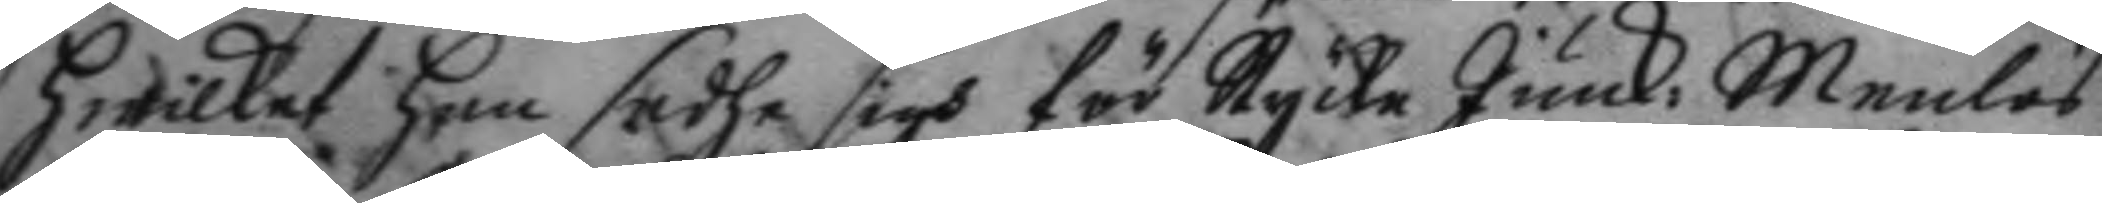hwilket han sadhe sigh för Stycke Junck. Menlös
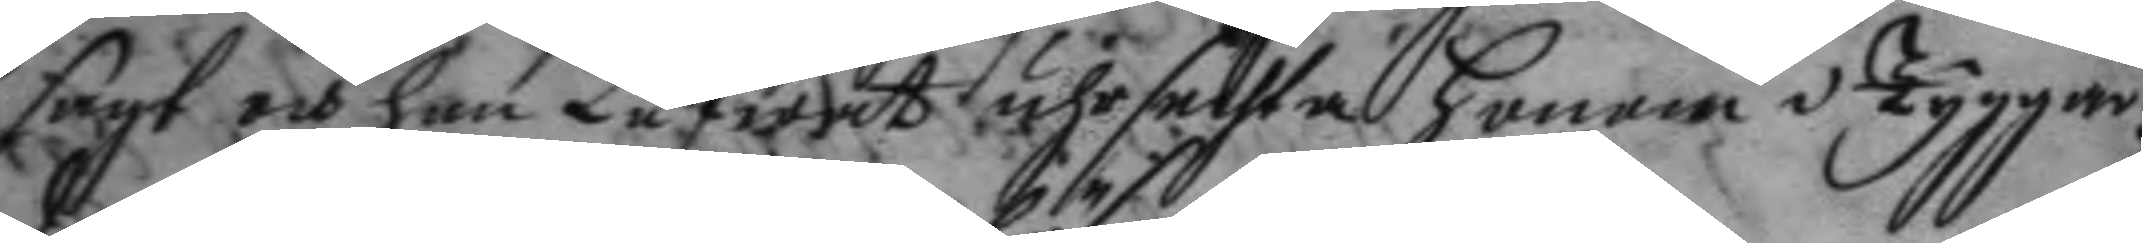sagt och han Låfwades uhrsechta honom i Tyggår¬
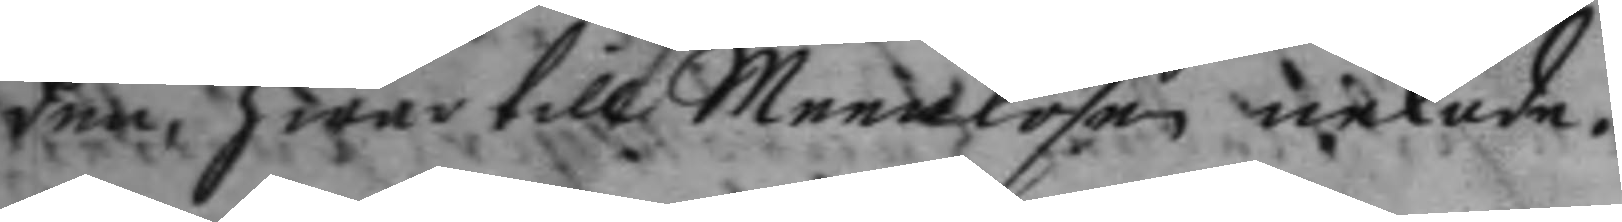den, hwar till Meenlösen nekade.
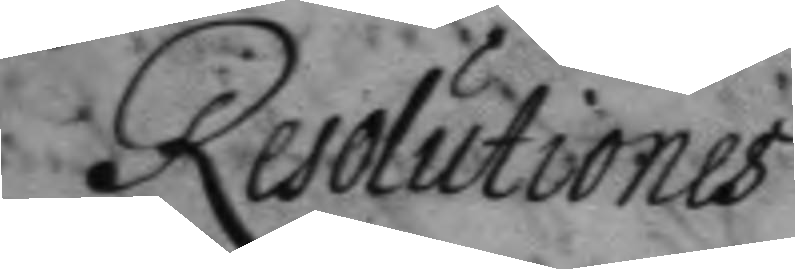Resolutionis
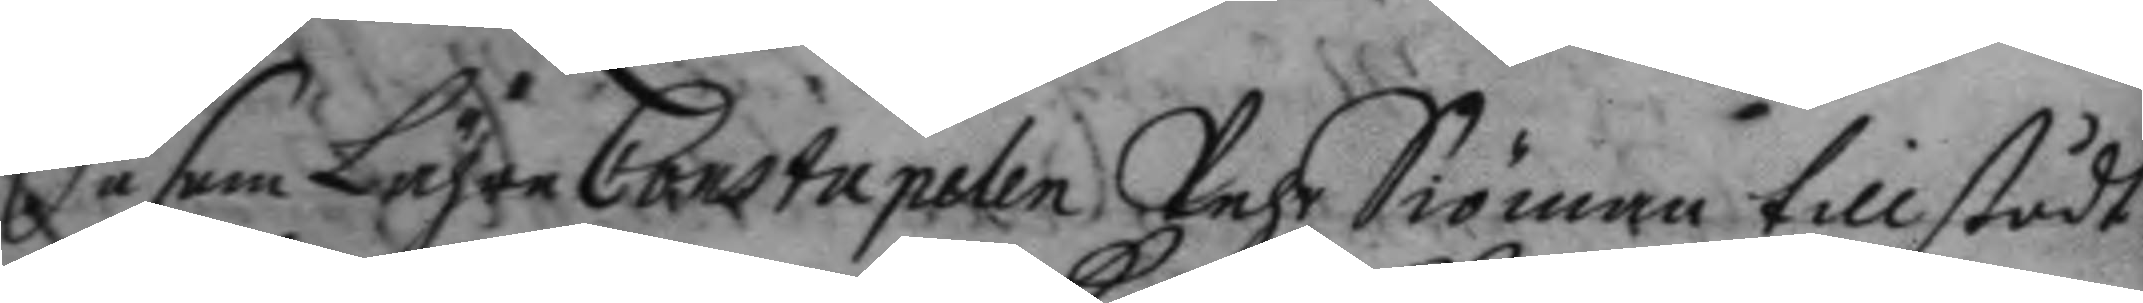Så som Lähre Constapelen Pehr Siöman tillstådt
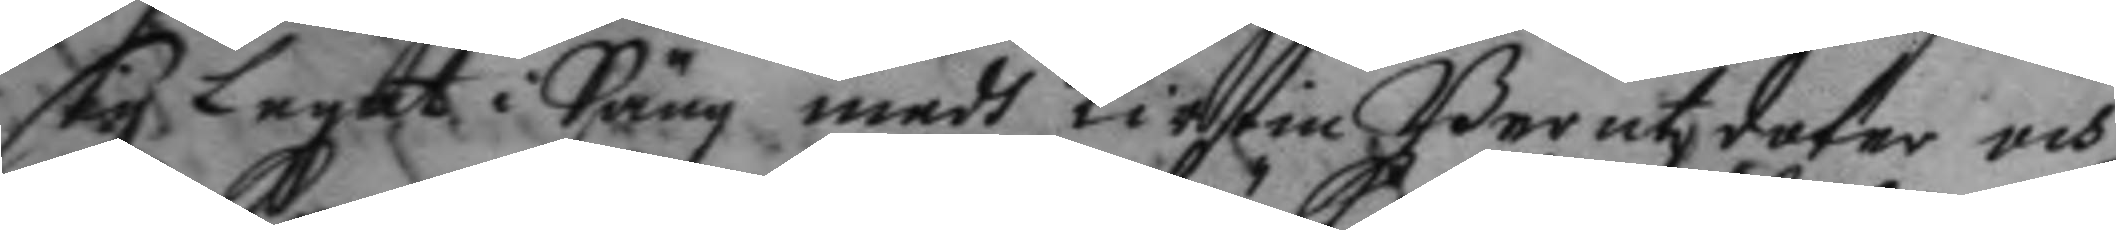sig Legat i Säng medh Kirstin Berentzdoter och
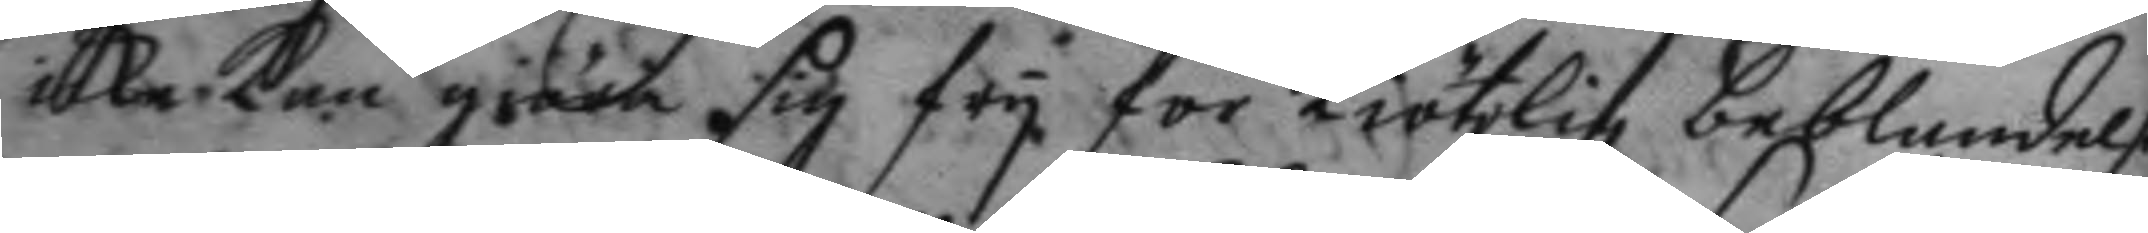icke kan giöra sig fry för kiötzlig beblandelse
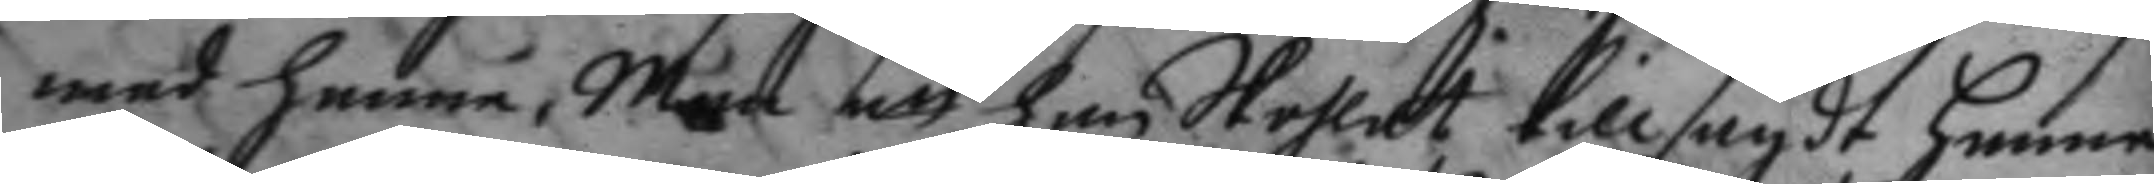med henne, Men att han Skohlat tillsagdt henne
